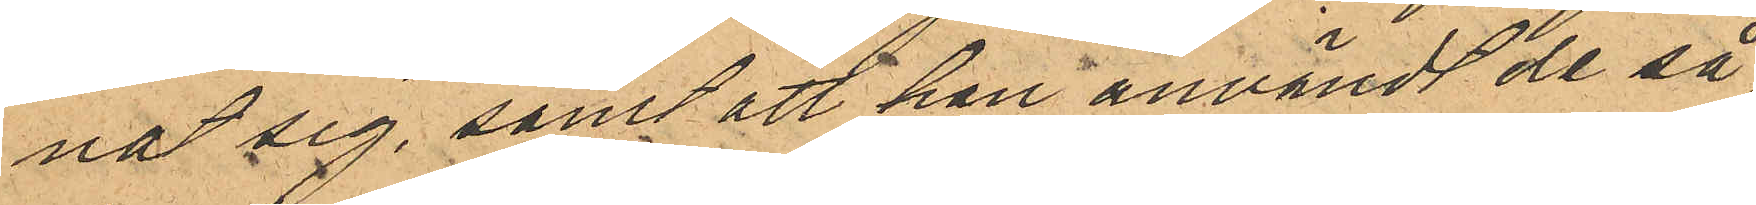nat sig, samt att han användt de så¬
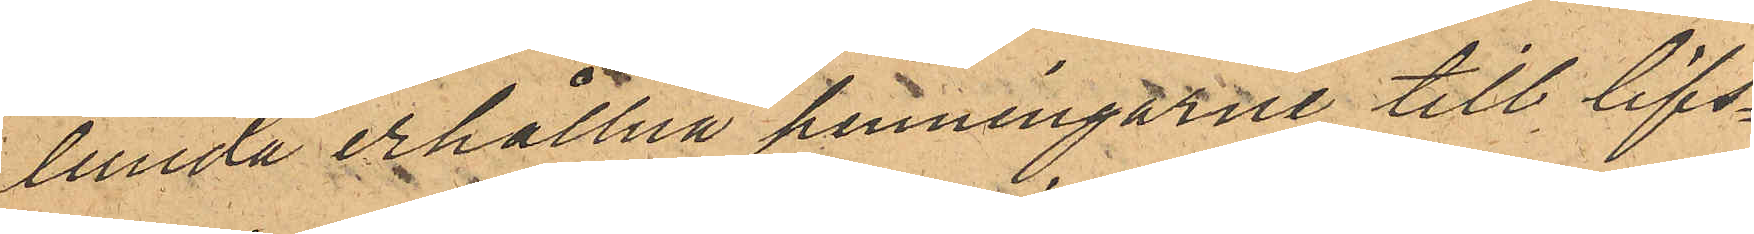lunda erhållna penningarne till lifs¬
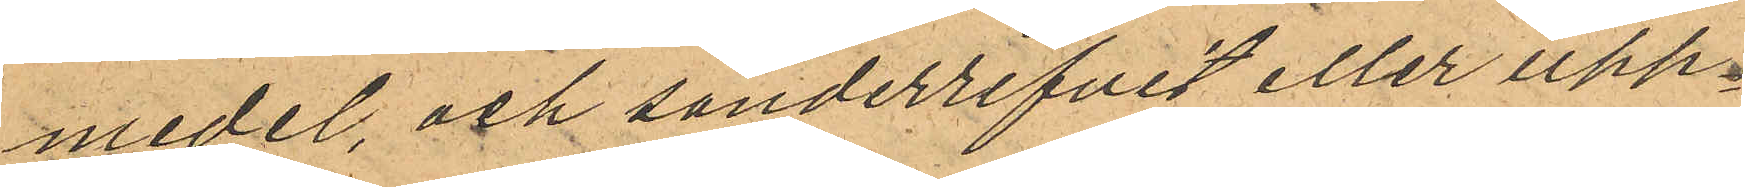medel, och sönderrifvit eller upp¬
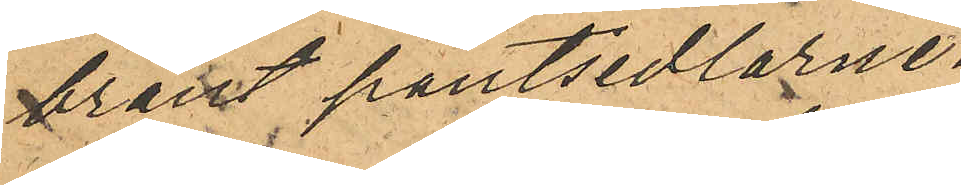bränt pantsedlarne.
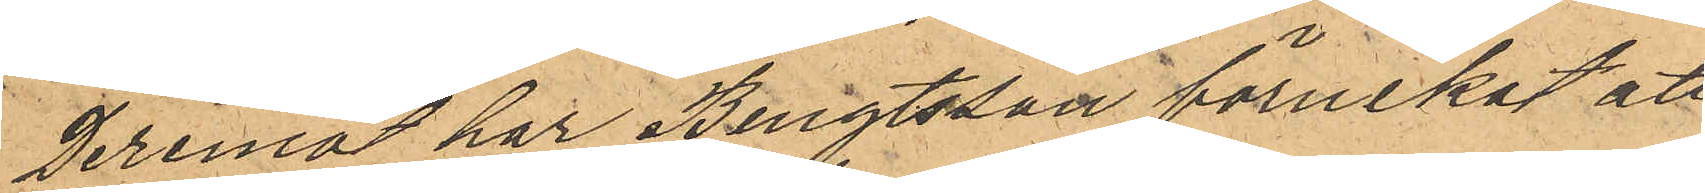Deremot har Bengtsson förnekat att
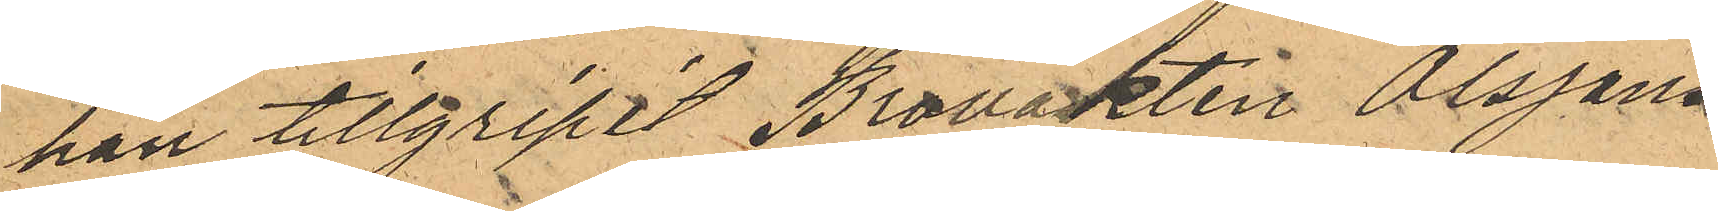han tillgripit Brovakten Olssons
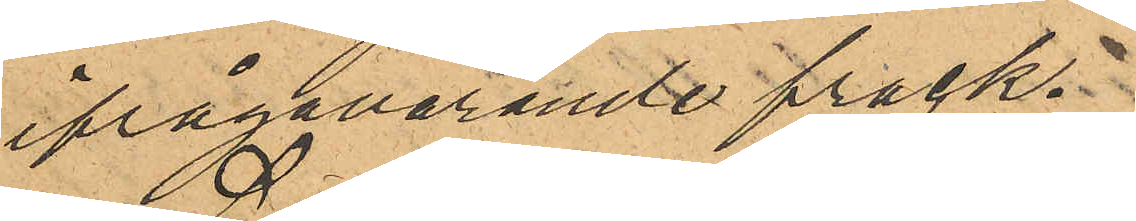ifrågavarande frack.
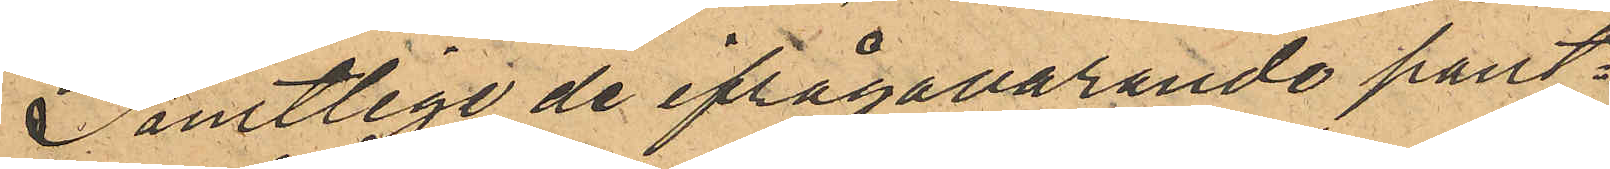Samtlige de ifrågavarande pant¬
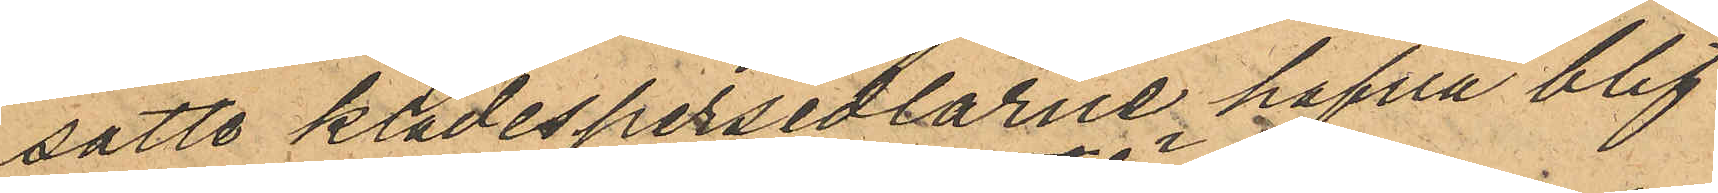satte klädespersedlarne hafva blif¬
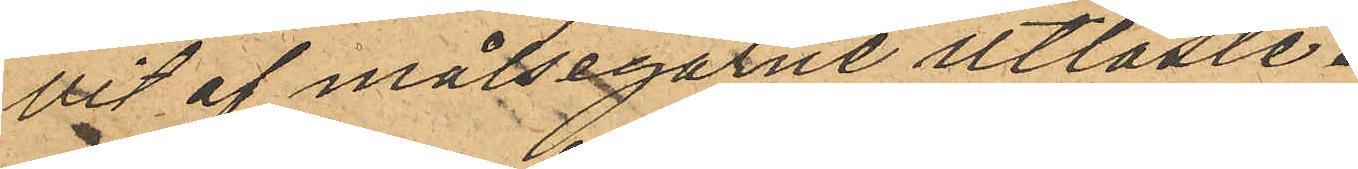vit af målsegarne utlöste .
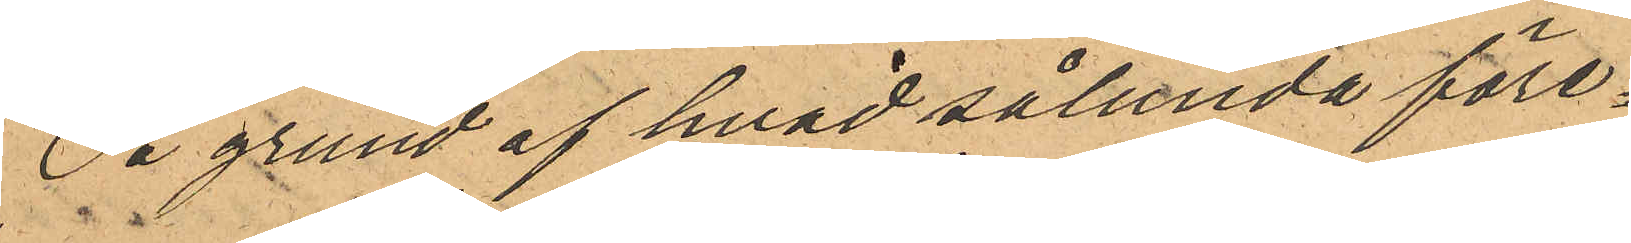På grund af hvad sålunda före¬
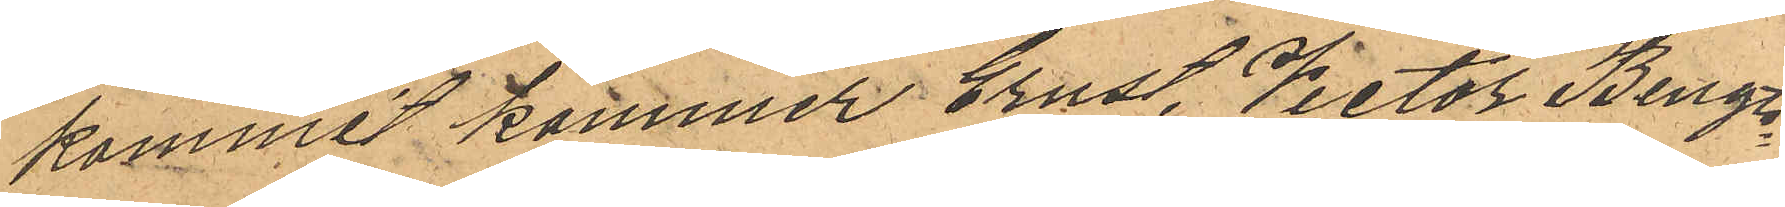kommit kommer Ernst. Victor Bengts¬
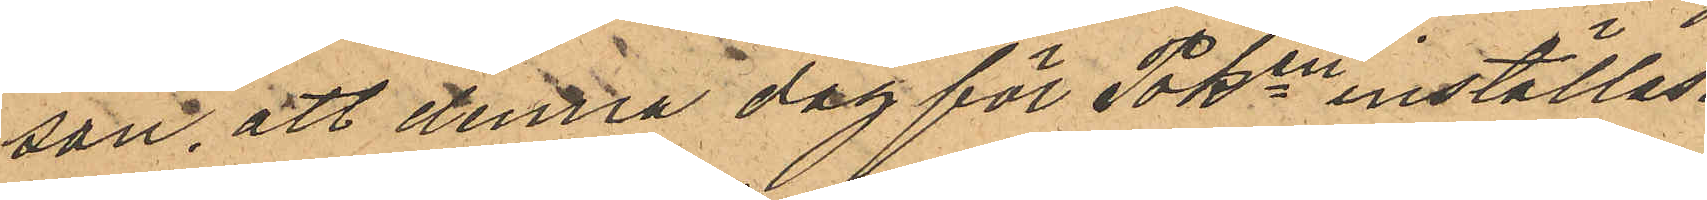son, att denna dag för PoKen inställas.
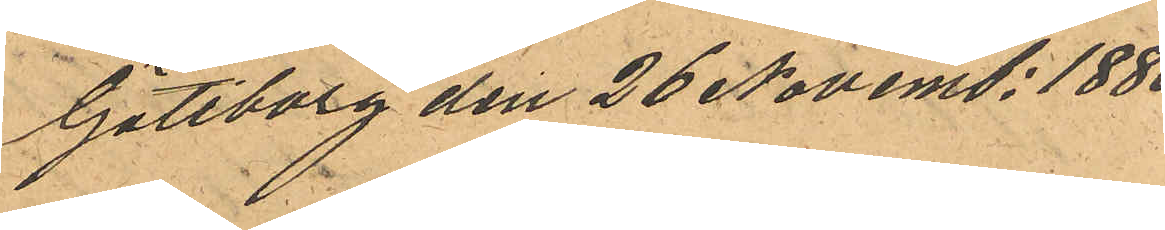Göteborg den 26 Novemb: 1880.
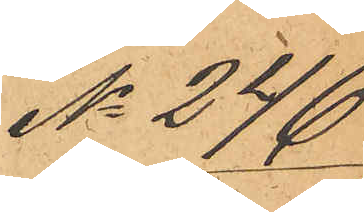No 246
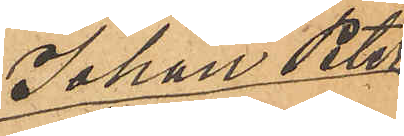Johan Peter
